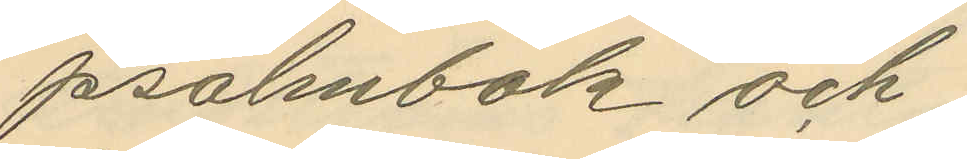psalmbok och
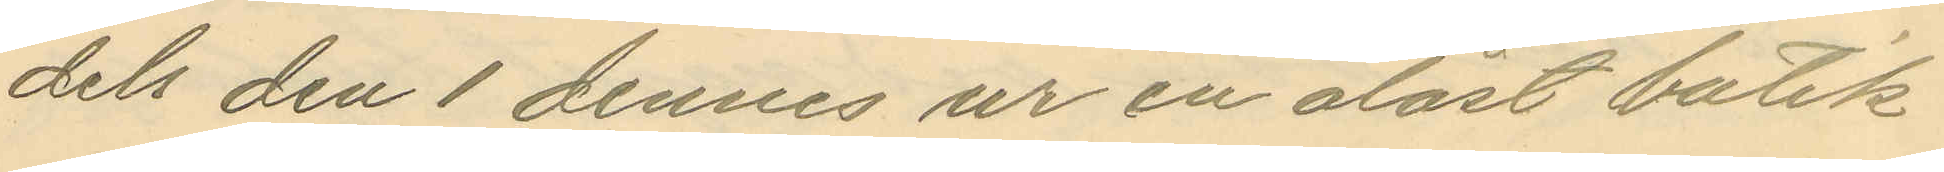dels den 1 dennes ur en olåst butik
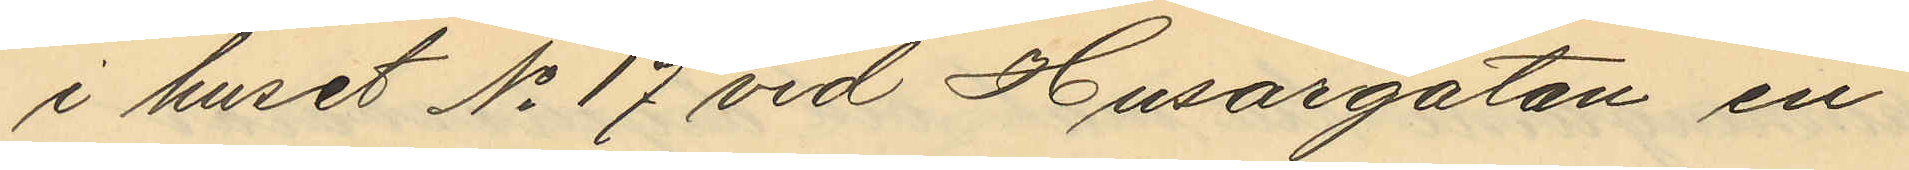i huset No 17 vid Husargatan en
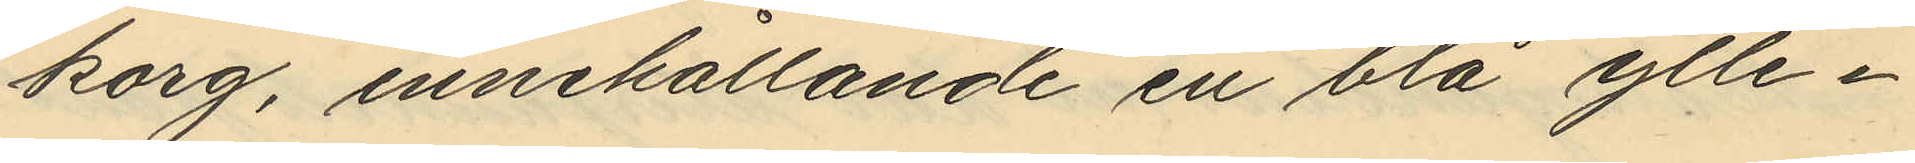korg, innehållande en blå ylle¬
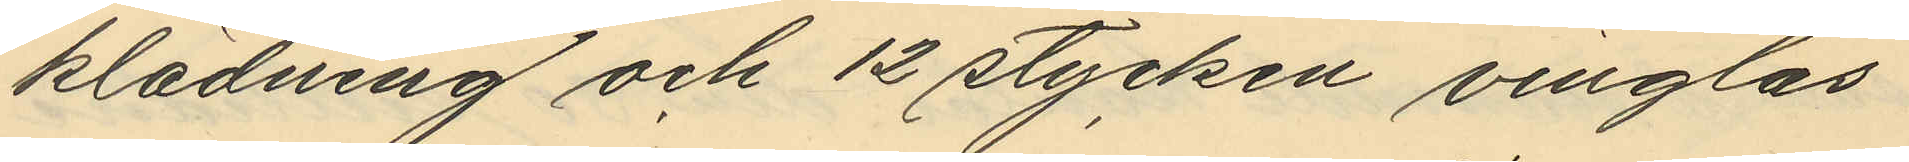klädning och 12 stycken vinglas
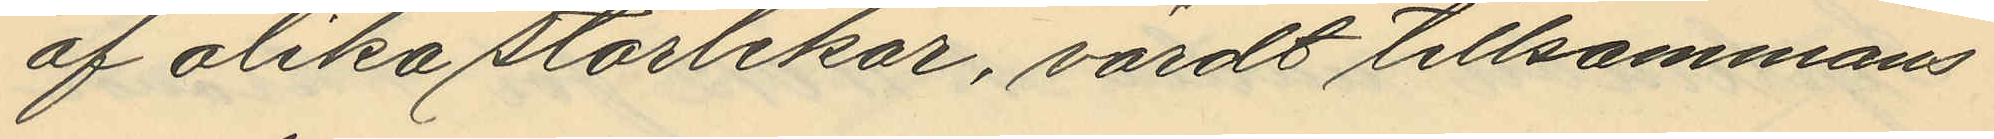af olika storlekar, värdt tillsammans
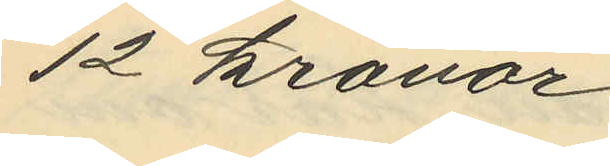12 kronor.
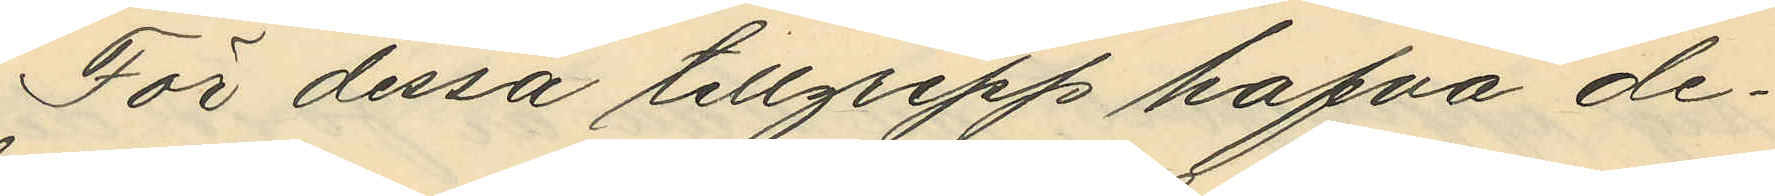För dessa tillgrepp hafva de¬
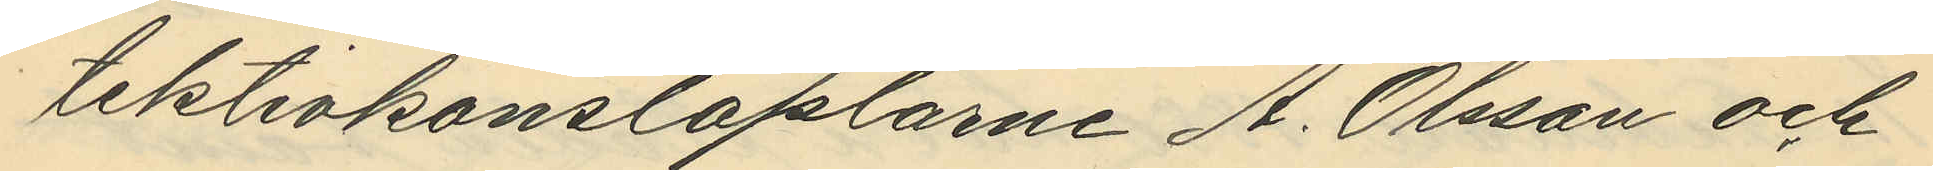tektivkonstaplarne A. Olsson och
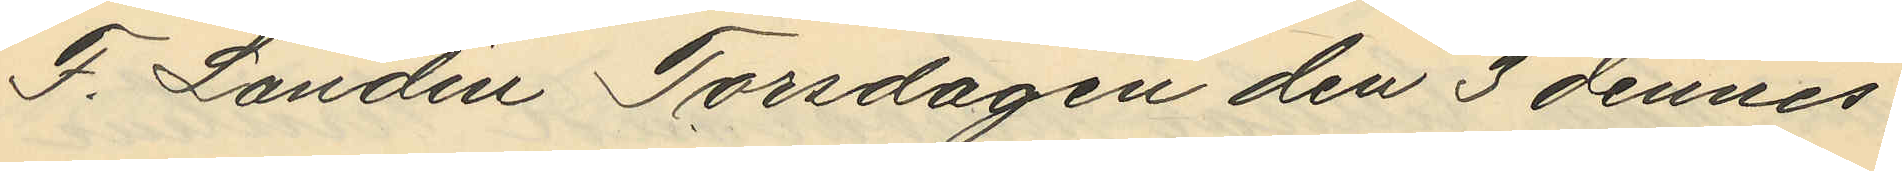F. Landin Torsdagen den 3 dennes
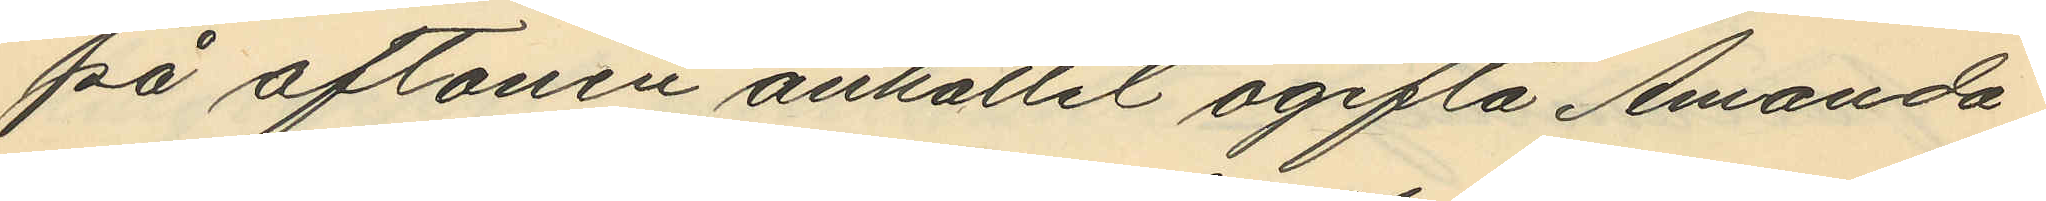på aftonen anhållit ogifta Amanda
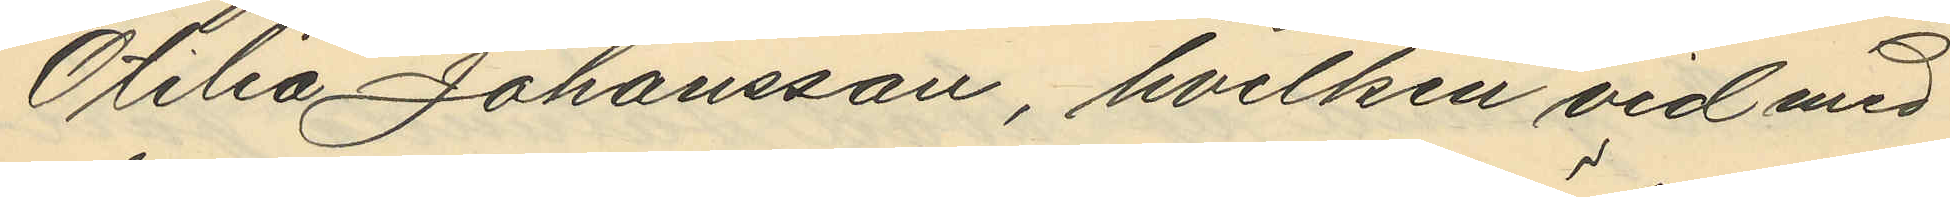Otilia Johansson, hvilken vid med
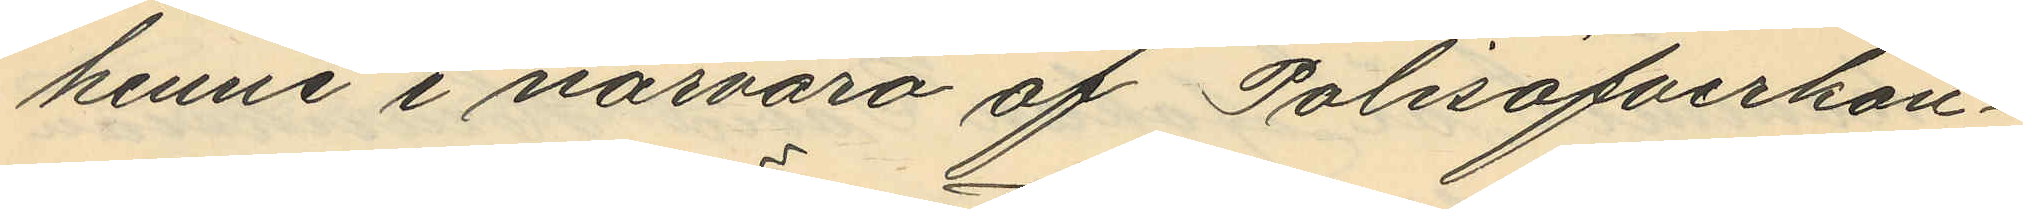henne i närvaro af Polisöfverkon¬
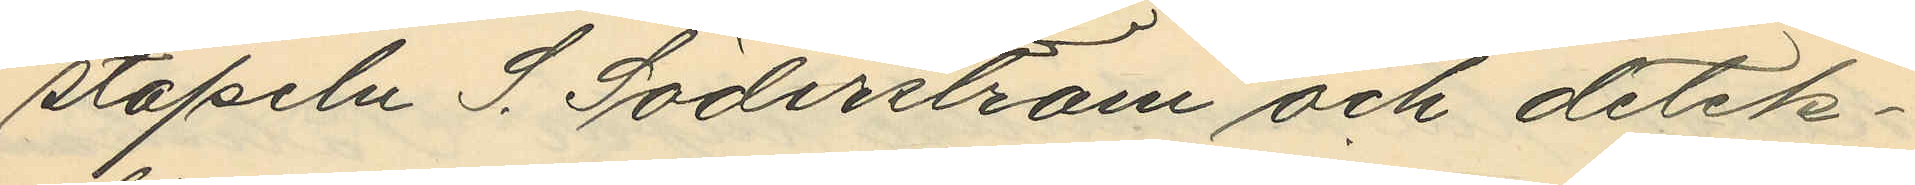stapeln S. Söderström och detek¬
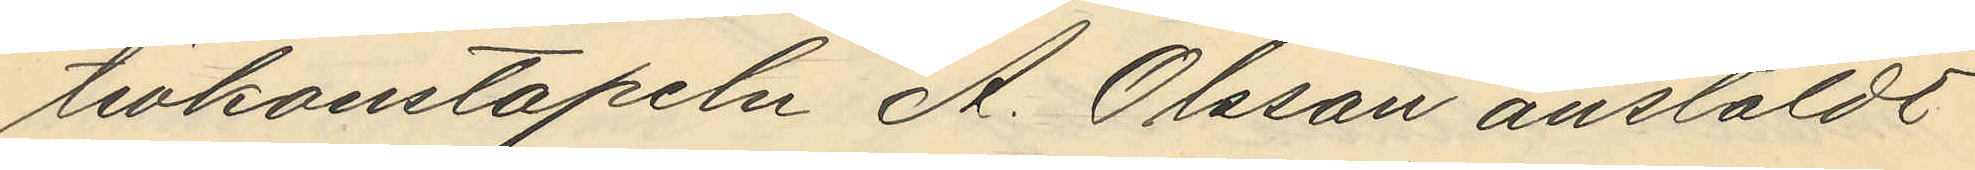tivkonstapeln A. Olsson anstäldt
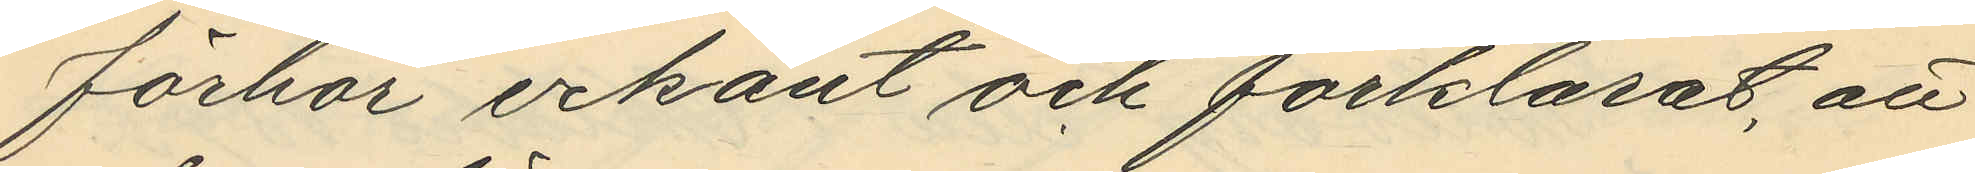förhör erkänt och förklarat, att
